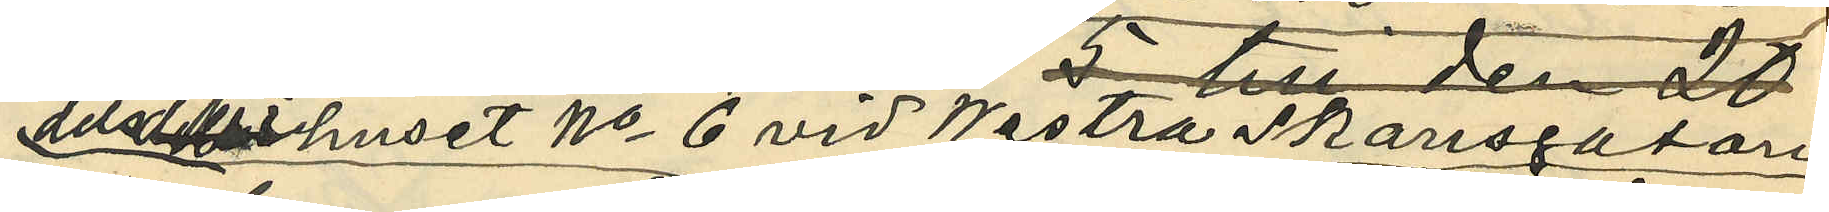dels i huset No 6 vid Westra Skansgatan 
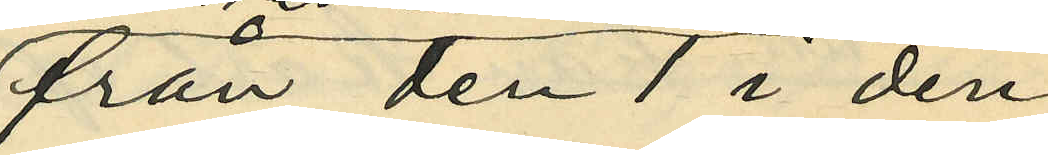från den 1 i den¬
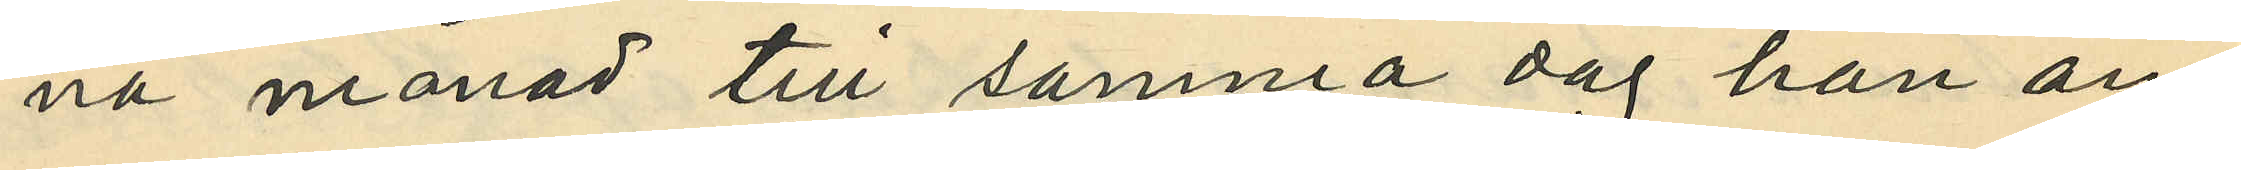na månad till samma dag han an¬
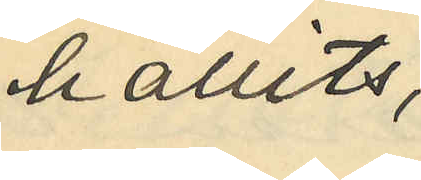hållits,
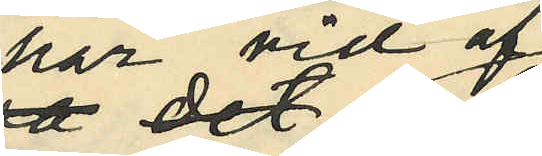har vid af
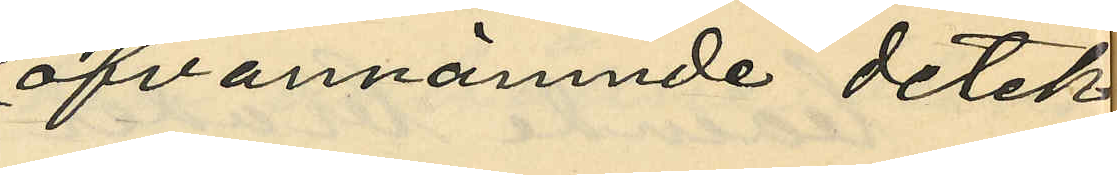ofvannämnde detek¬
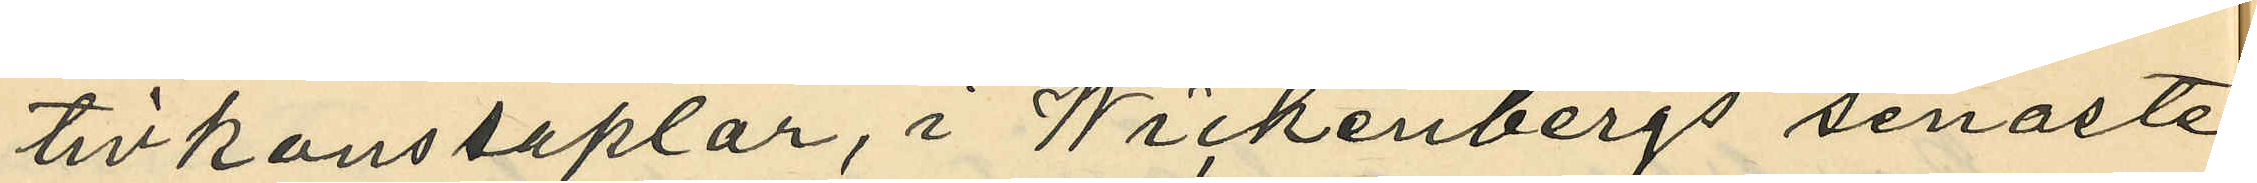tivkonstaplar, i Wickenbergs senaste
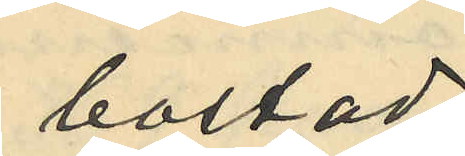bostad
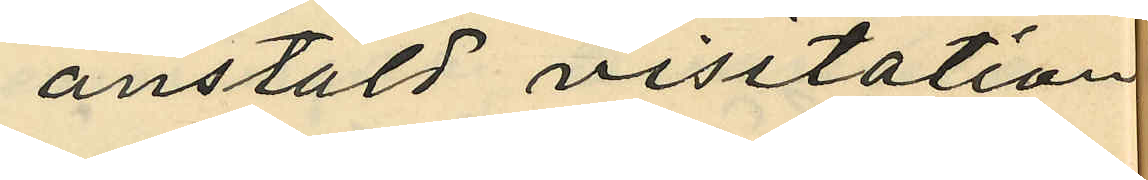anstäld visitation
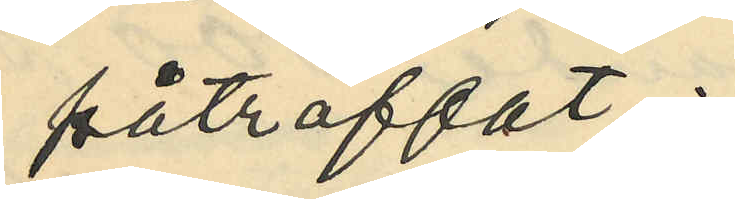påträffat:
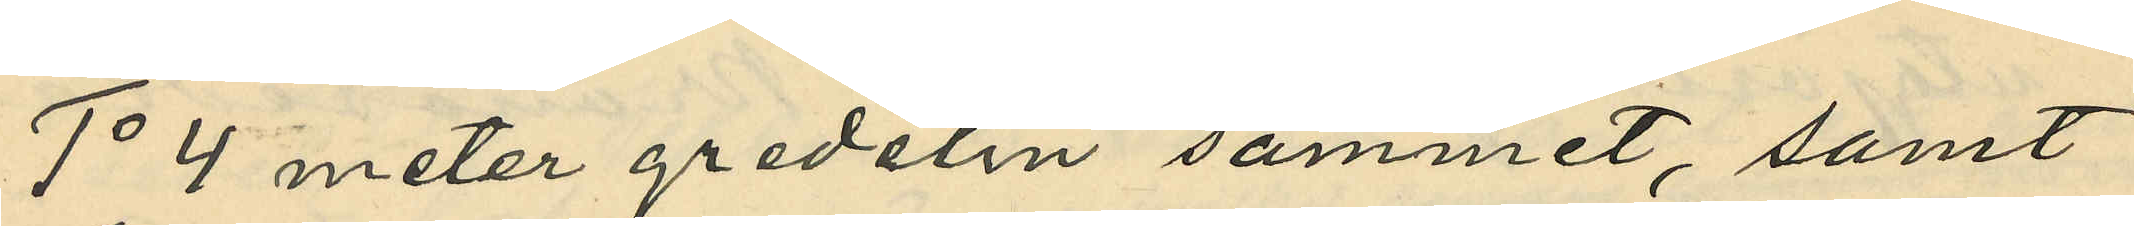1o 4 meter gredelin sammet, samt
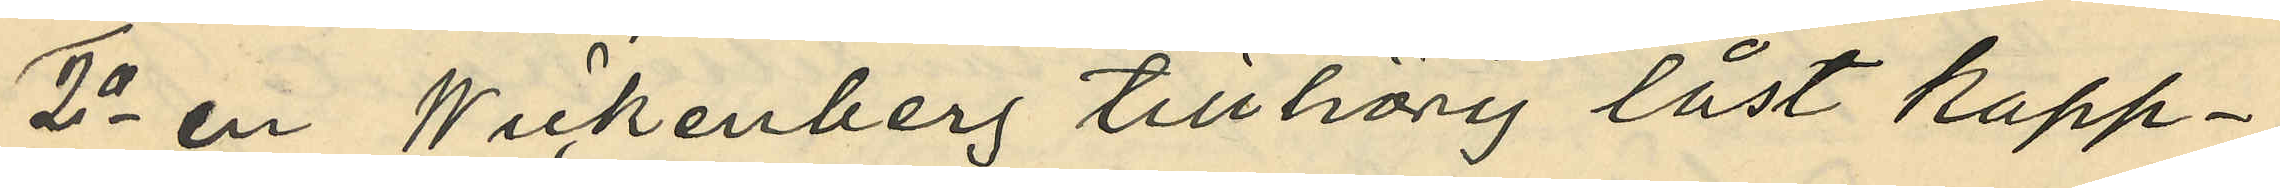2o en Wickenberg tillhörig låst kapp¬
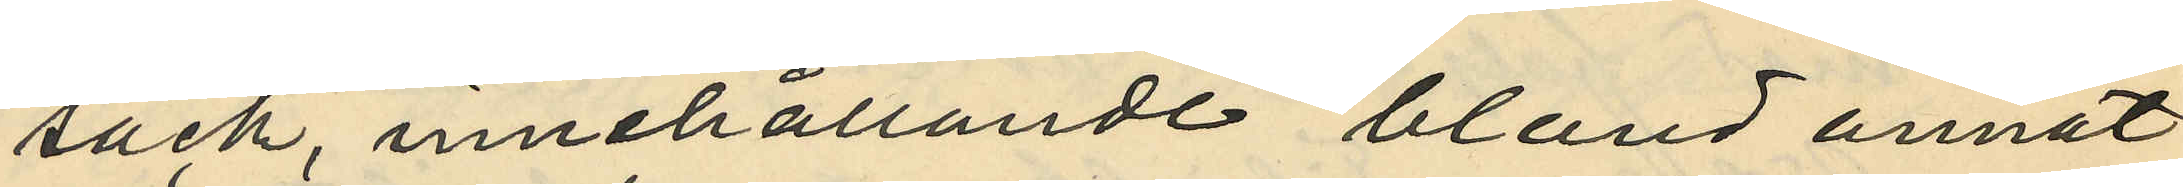säck, innehållande bland annat
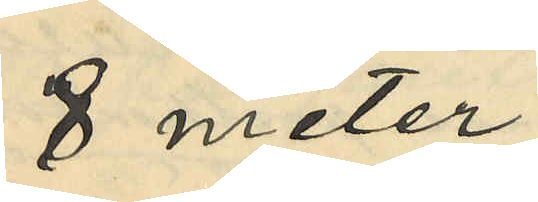8 meter
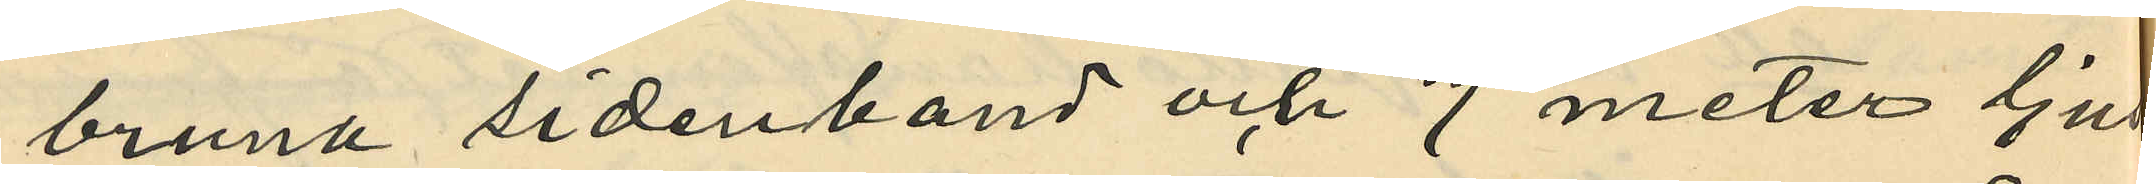bruna sidenband och 7 meter ljus
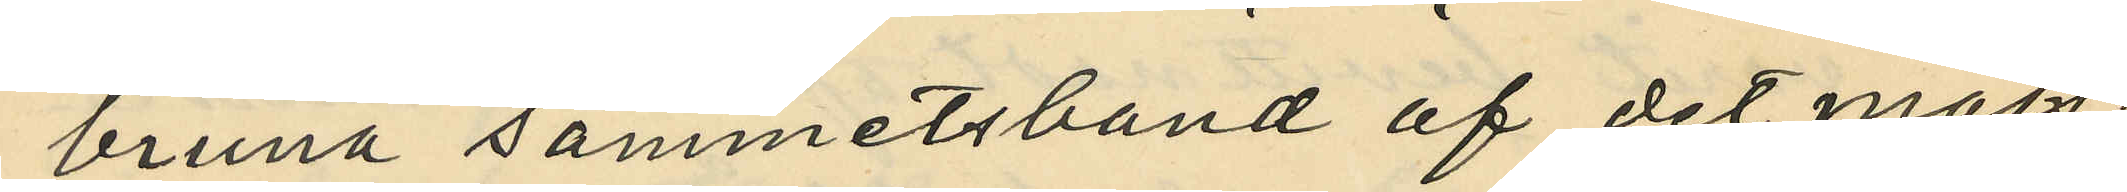bruna sammetsband af det måls¬
